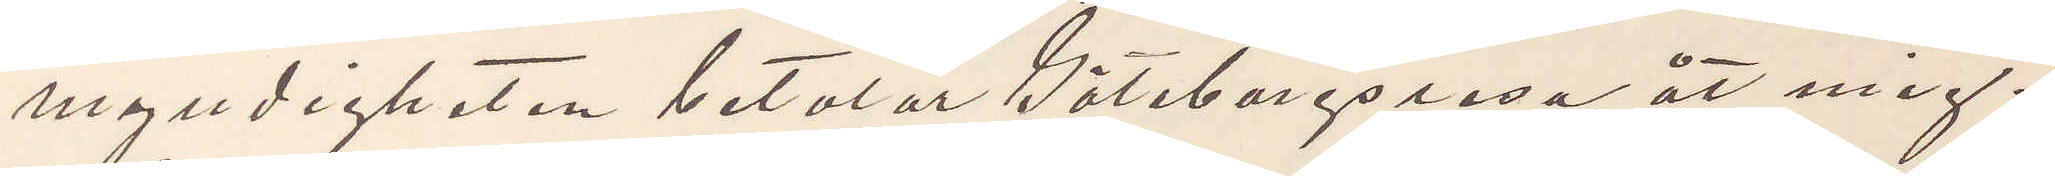myndigheten betalar Göteborgsresa åt mig.
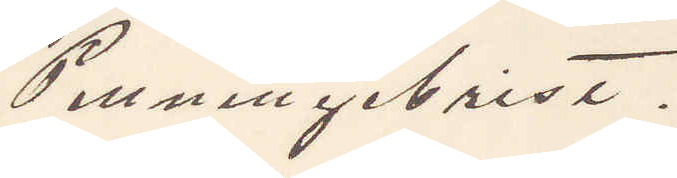Penningebrist.
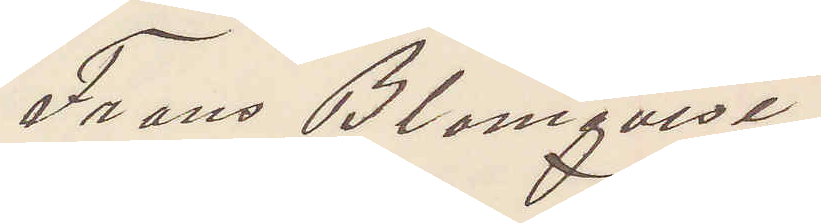Frans Blomqvist
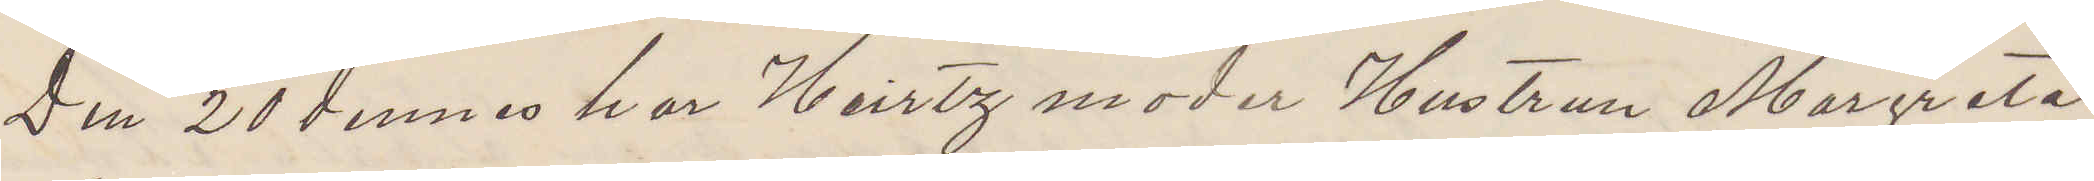Den 20 dennes har Heirtz moder Hustrun Margreta
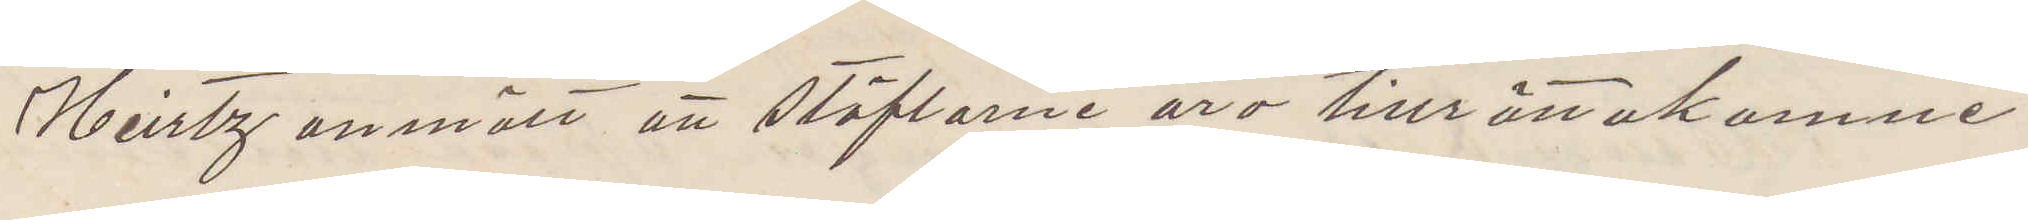Heirtz anmält att stöflarne äro tillrättakomne.
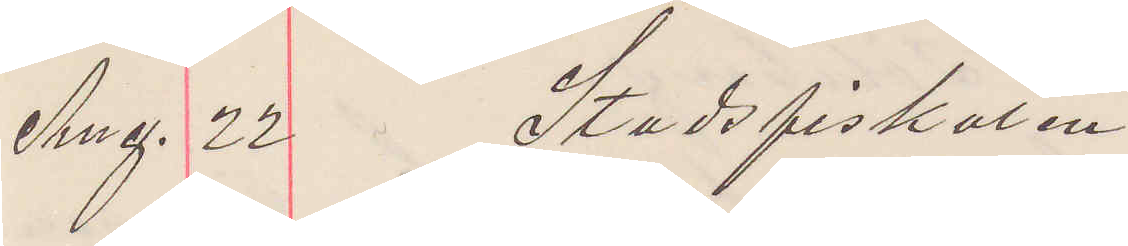Aug. 22 Stadsfiskalen
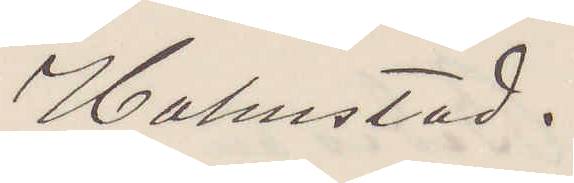Halmstad.
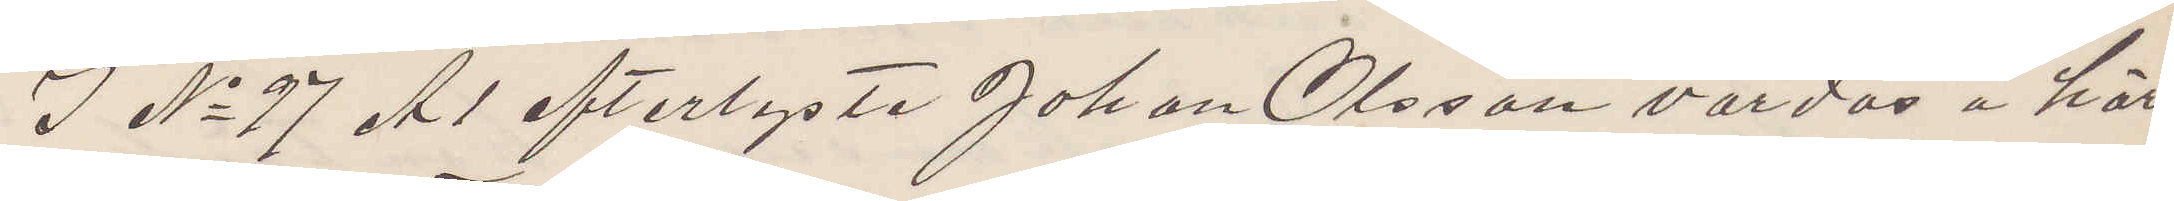I No 97 A 1 efterlyste Johan Olsson vårdas å här¬
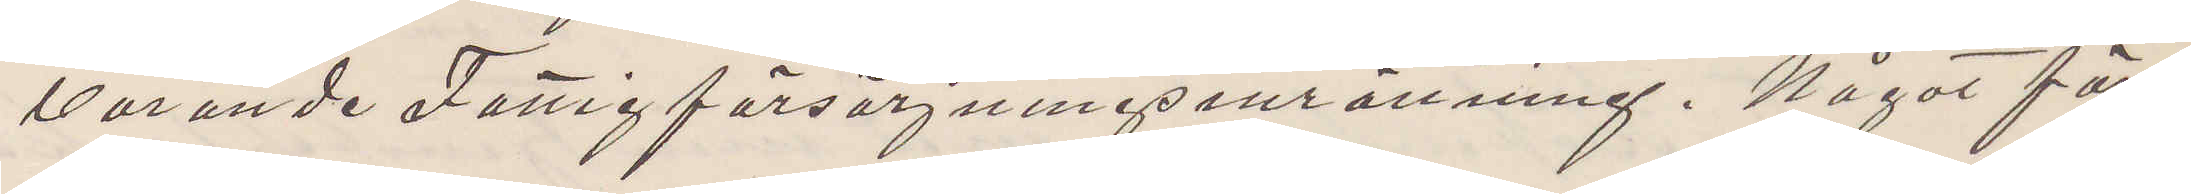varande Fattigförsörjningsinrättning. Något för¬
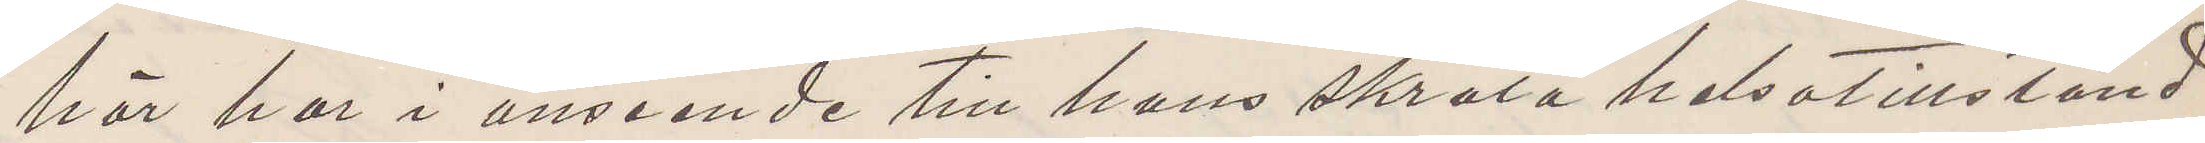hör har i anseende till hans skrala helsotillstånd
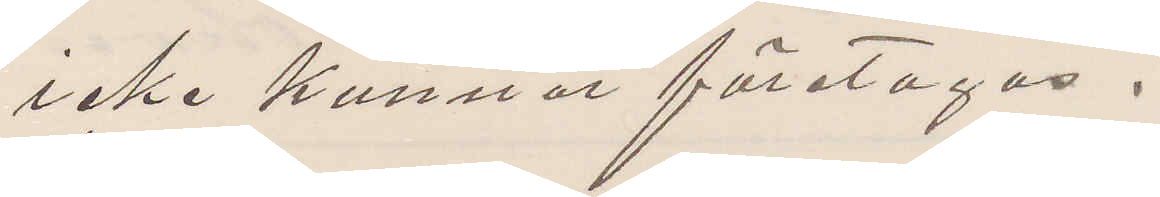icke kunnat företagas.
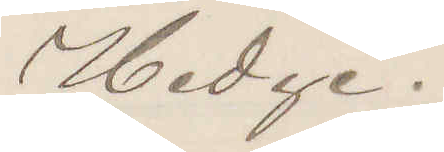Hedge.
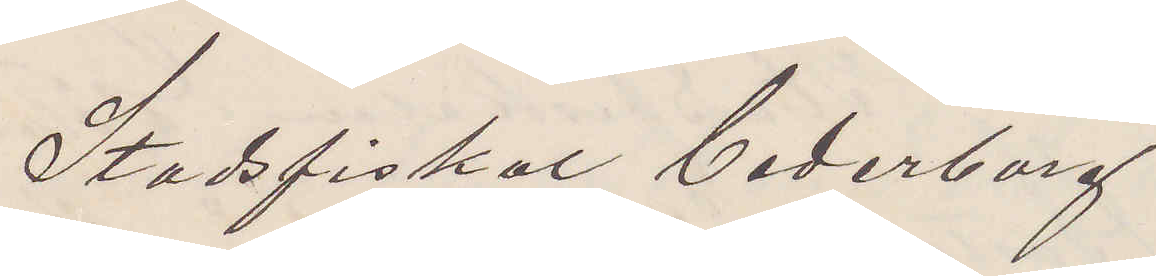Stadsfiskal Cederborg
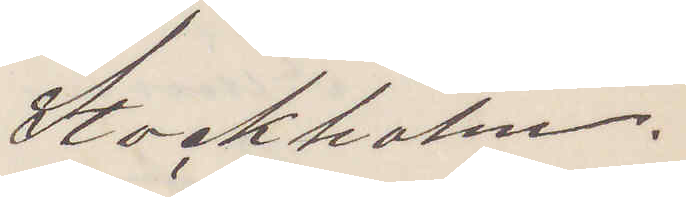Stockholm.
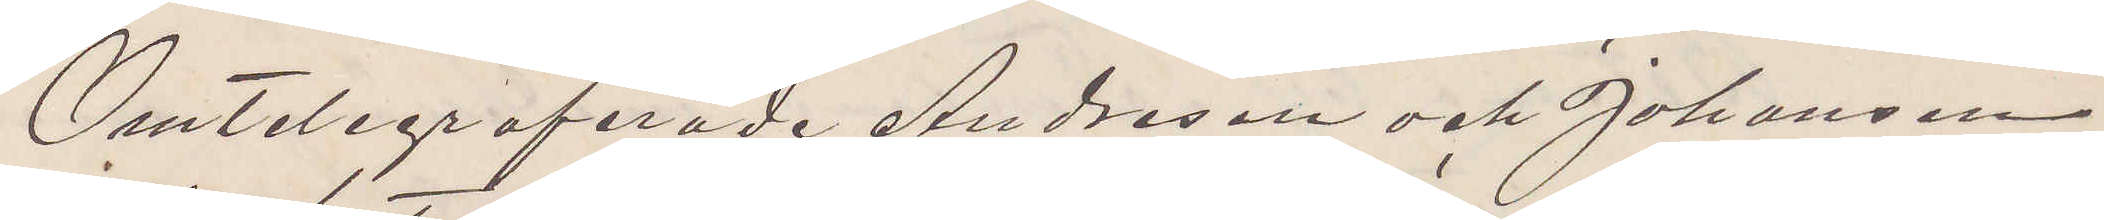Omtelegraferade Andresen och Johanson
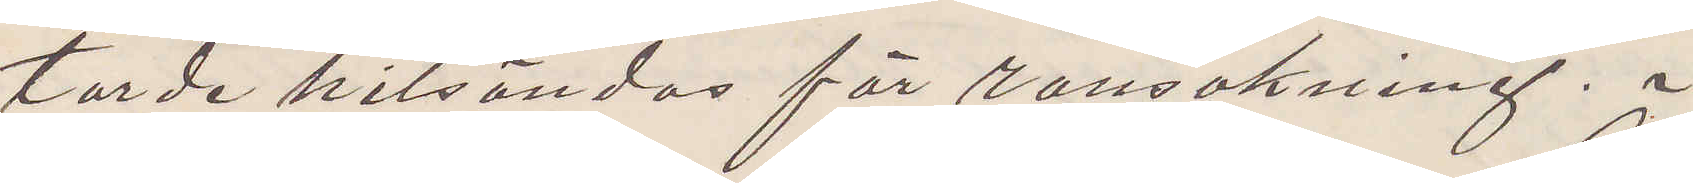torde hitsändas för ransakning.
